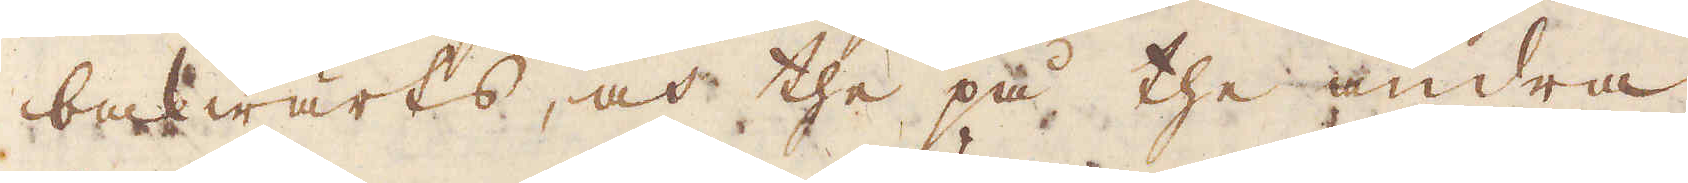bakwärts, och the på the andra
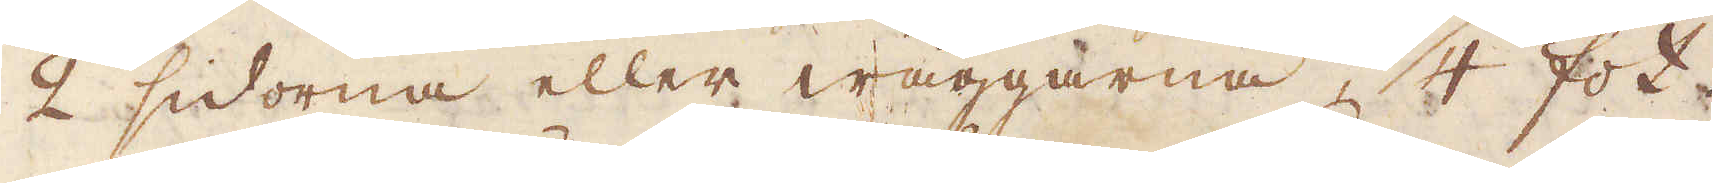2 sidorna eller wäggarna, 3/4 fot.
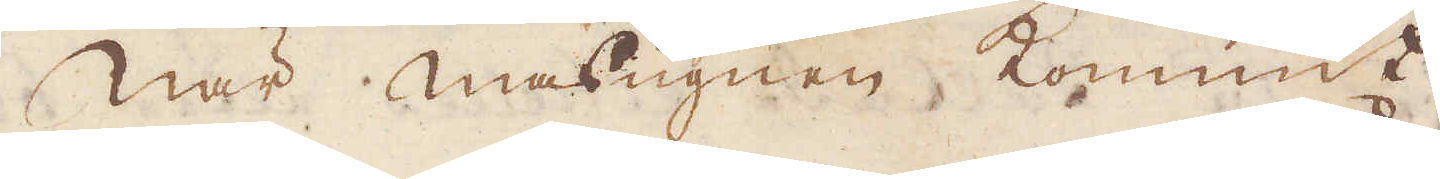När masugn kommit
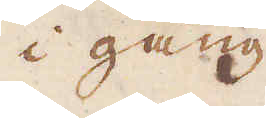i gång
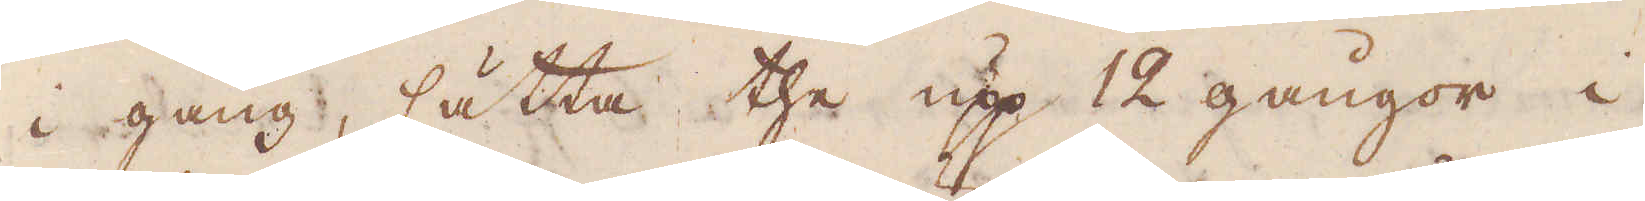i gång, sätta the upp 12 gångor i
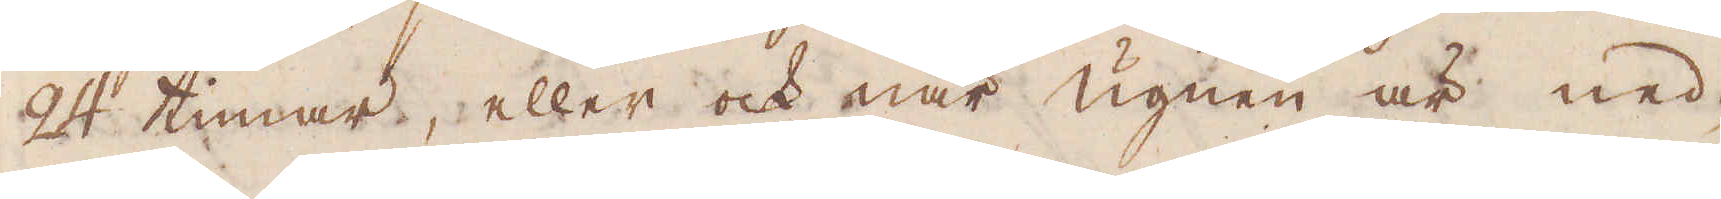24 timar, eller ock när ugnen är ned-
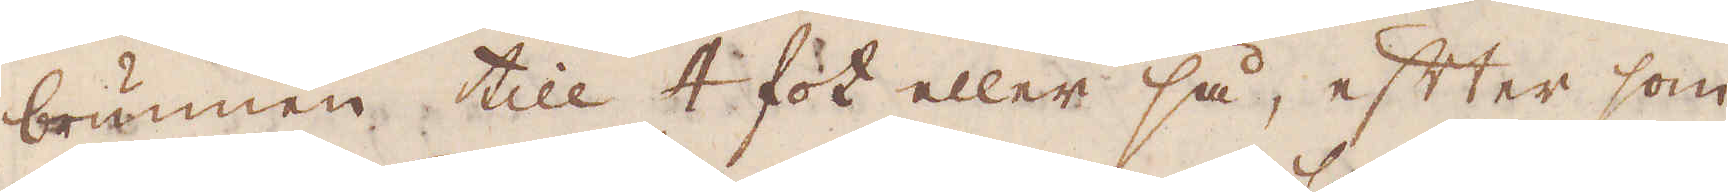brunnen till 4 fot eller så, efter som
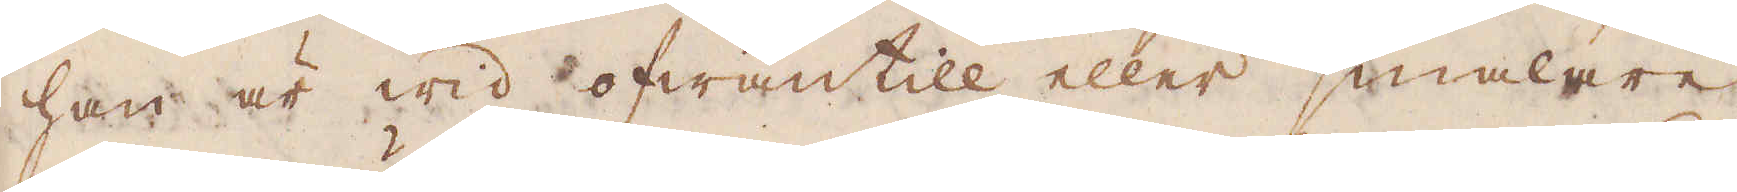han är wid ofwantill eller smalare;
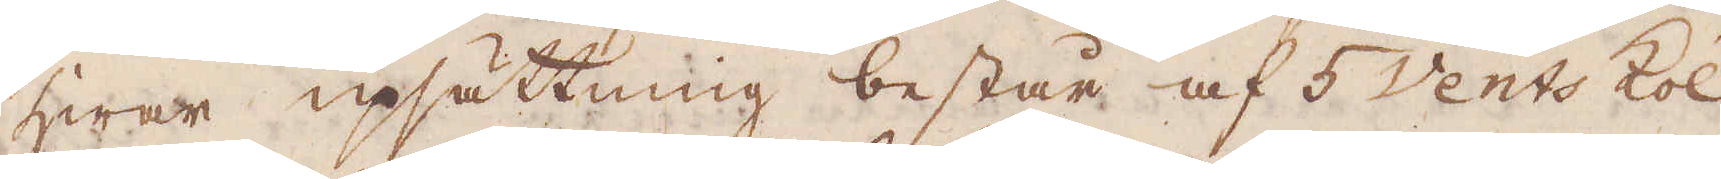hwar upsättning består af 5 Vents kol
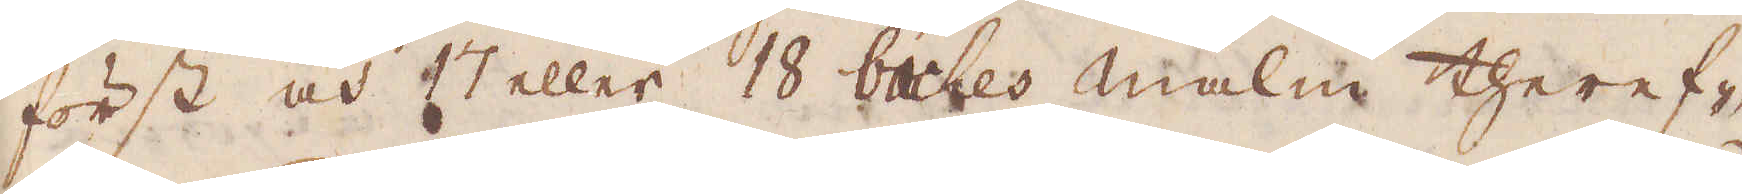först och 17 eller 18 bashes malm theref-
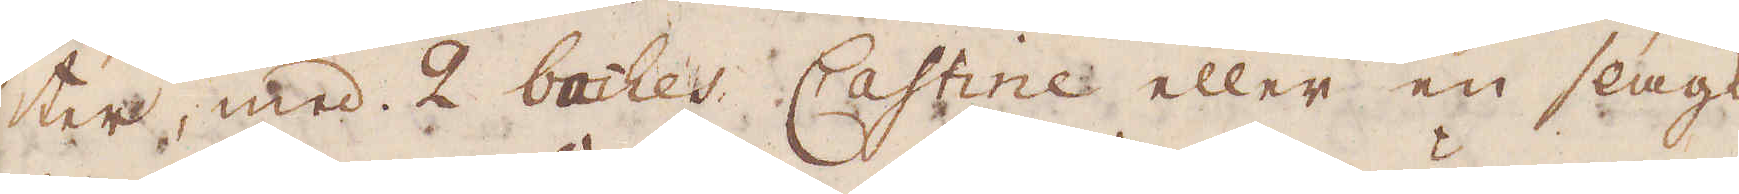ter, med 2 bashes Castine eller en slags
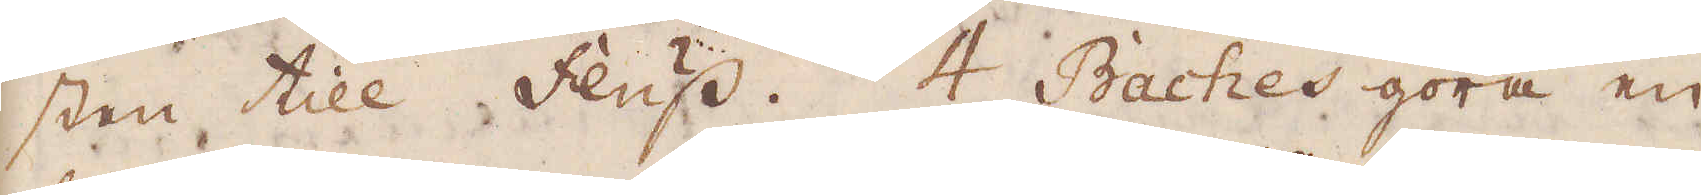sten till fluss. 4 Bashes göra en
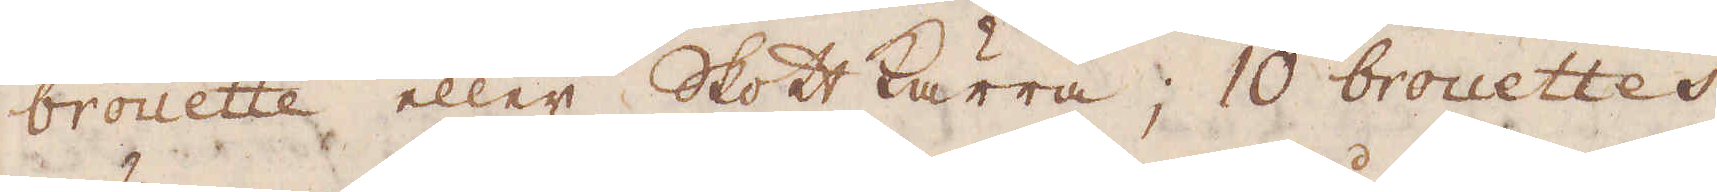brouette eller Skottkärra;  10 brouettes
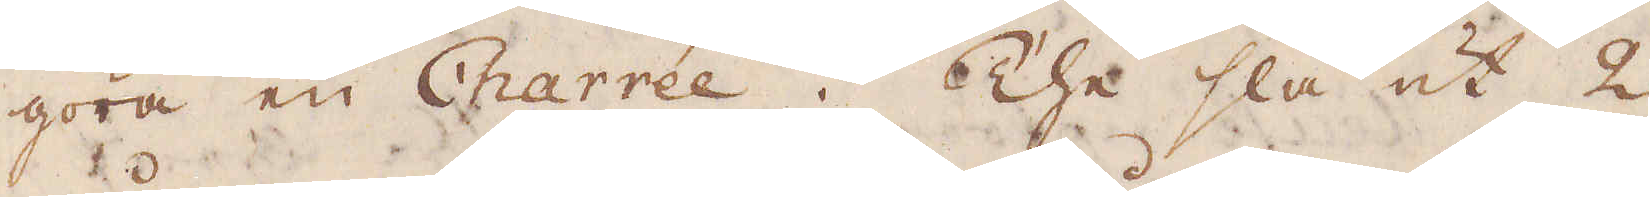göra en Charrée. The slå ut 2
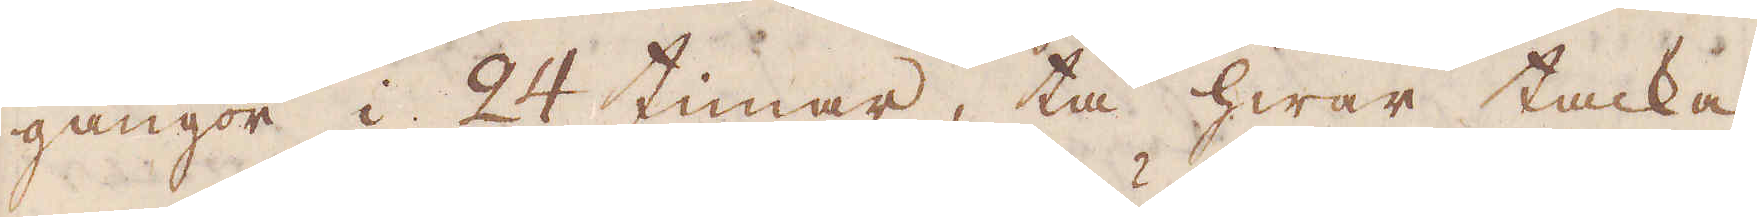gångor i 24 timar, tå hwar tacka,
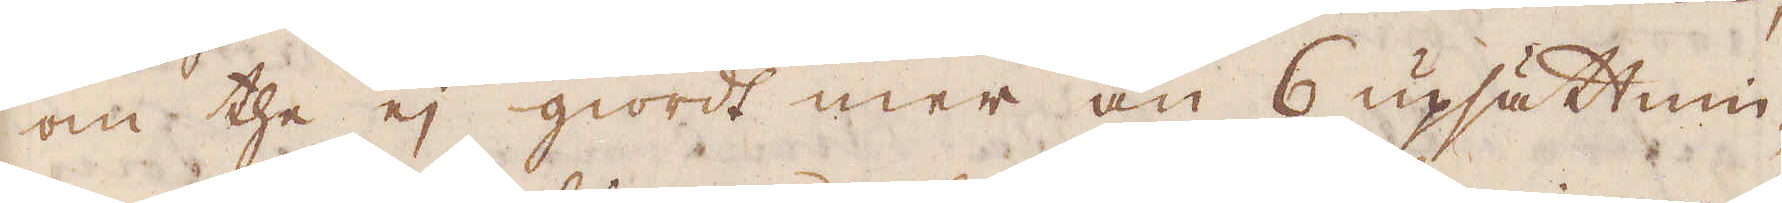om the ej giordt mer än 6 upsättnin-
